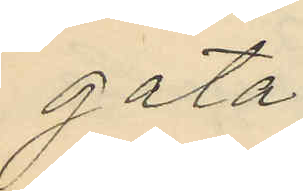gata;
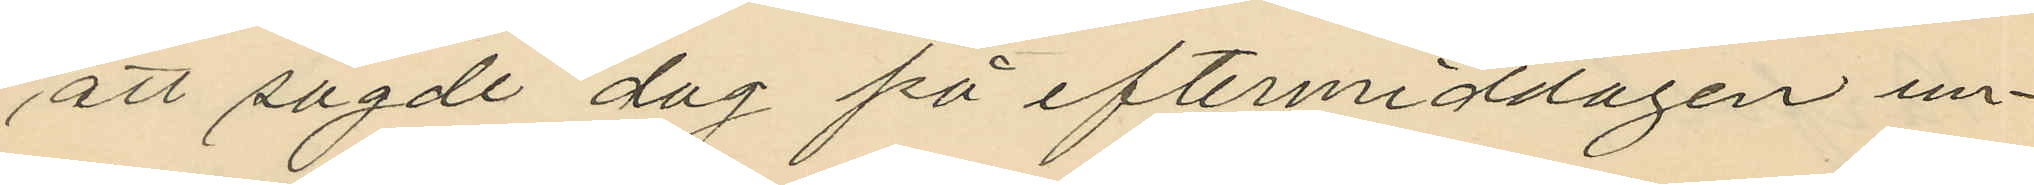att sagde dag på eftermiddagen un¬
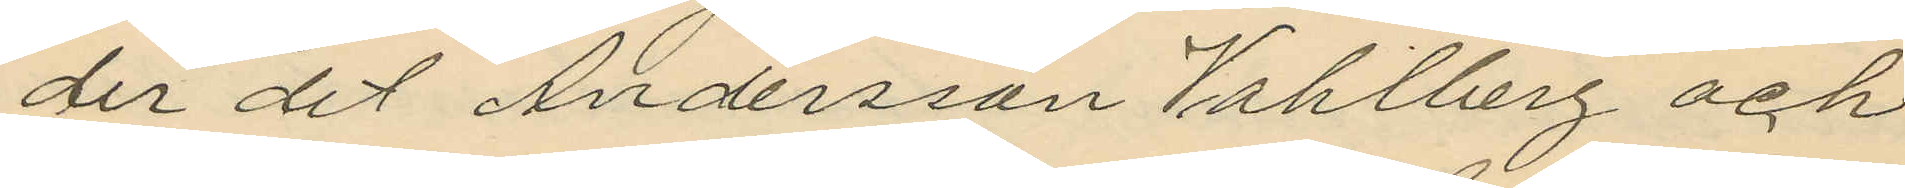der det Andersson Vahlberg och
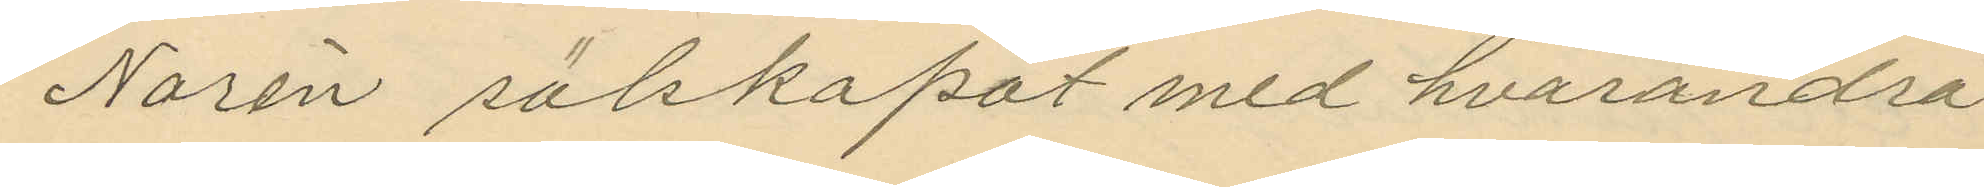Norén sälskapat med hvarandra
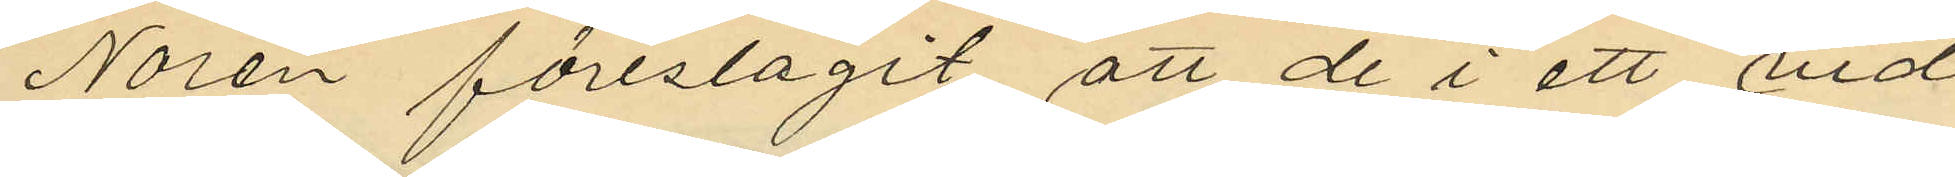Norén föreslagit att de i ett vid
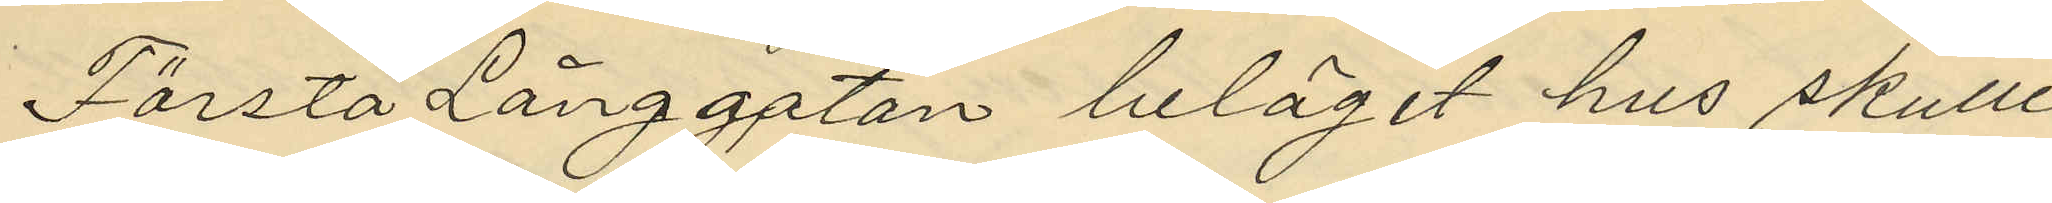Första Långgatan beläget hus skulle
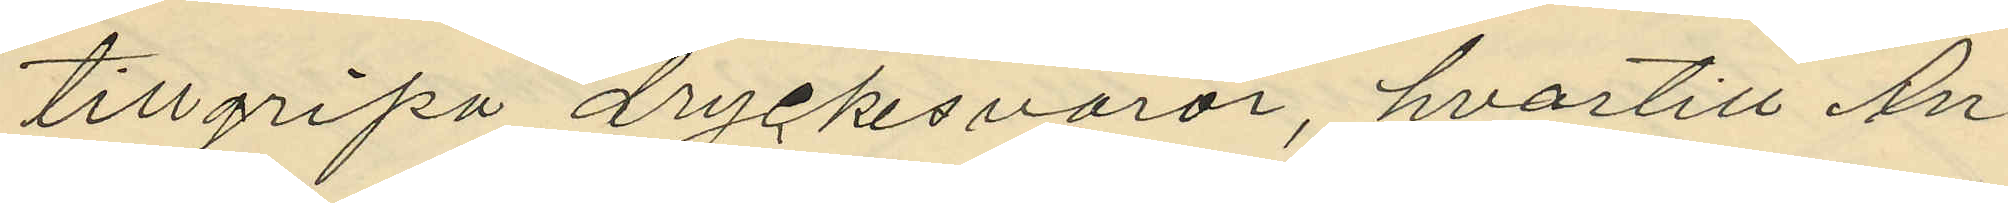tillgripa dryckesvaror, hvartill An¬
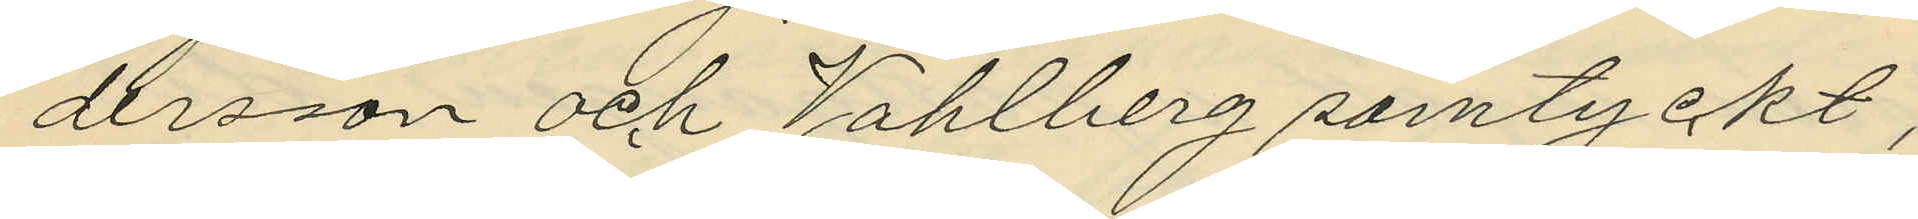dersson och Vahlberg samtyckt;
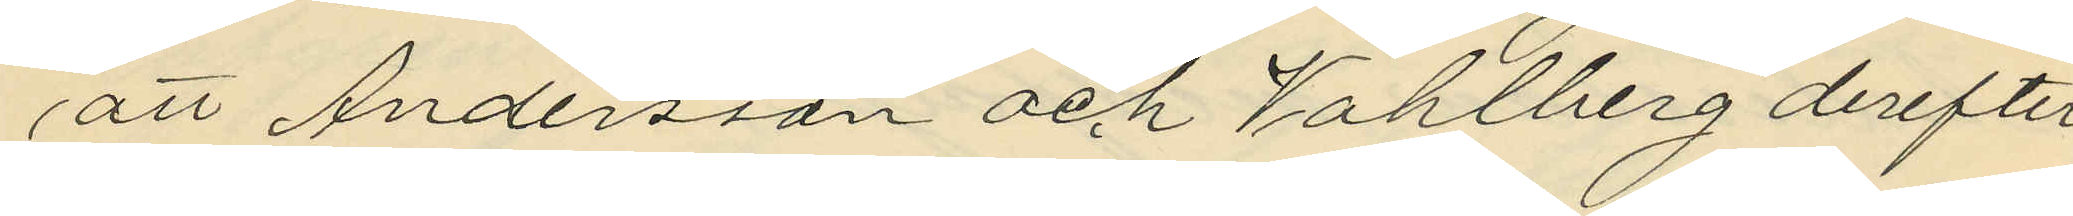att Andersson och Vahlberg derefter
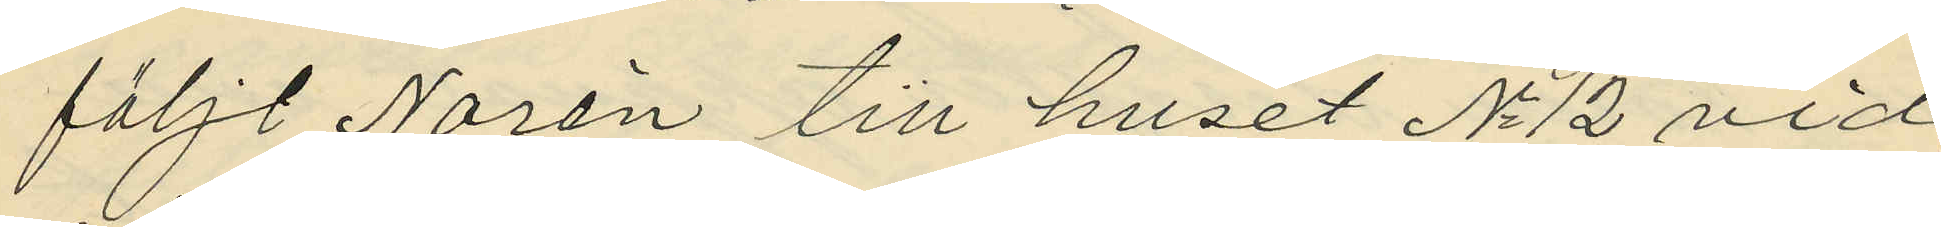följt Norén till huset No 12 vid
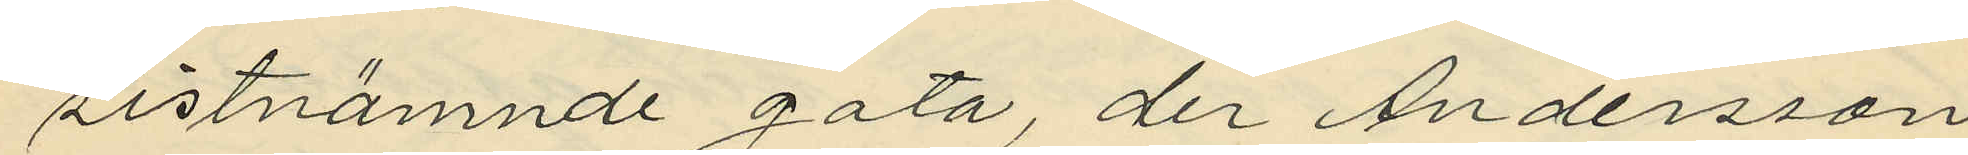sistnämnde gata, der Andersson
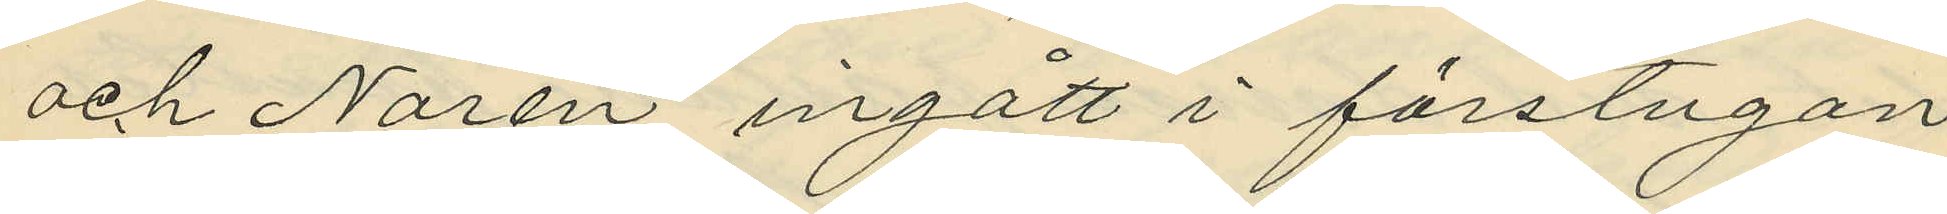och Norén ingått i förstugan
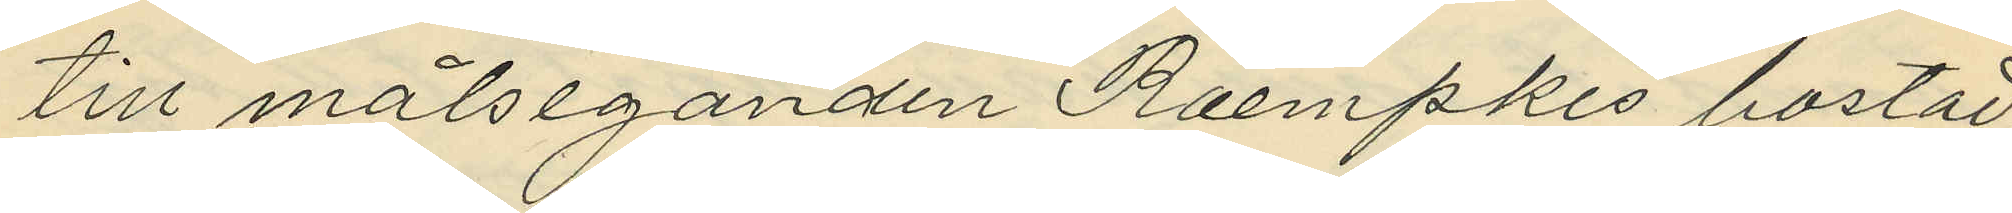till målseganden Roempkes bostad;
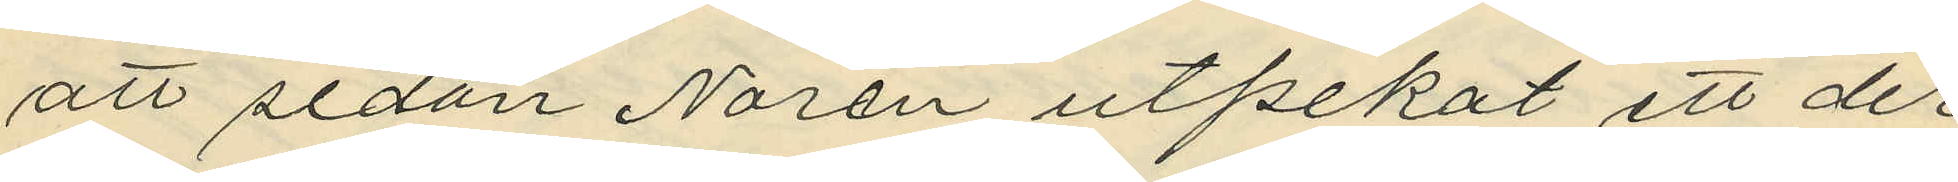att sedan Norén utpekat ett der
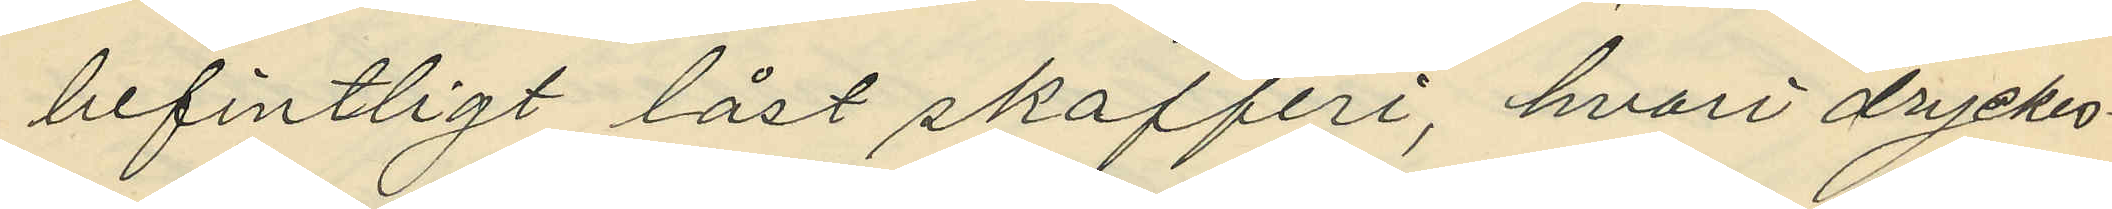befintligt låst skafferi, hvari dryckes¬
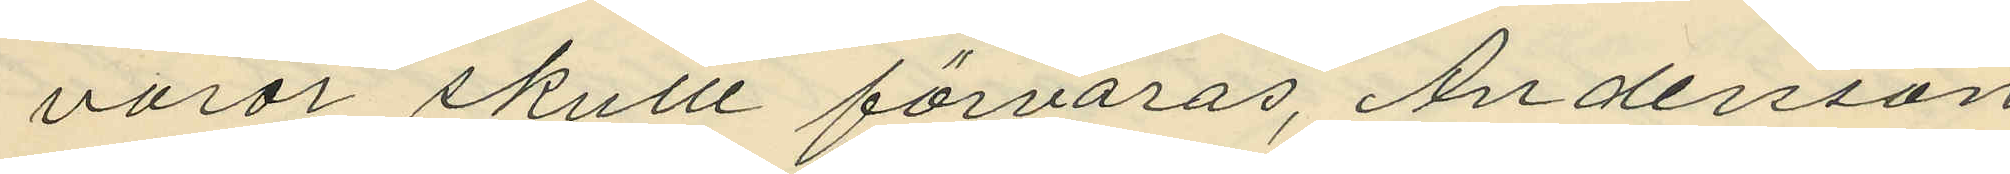varor skulle förvaras, Andersson
